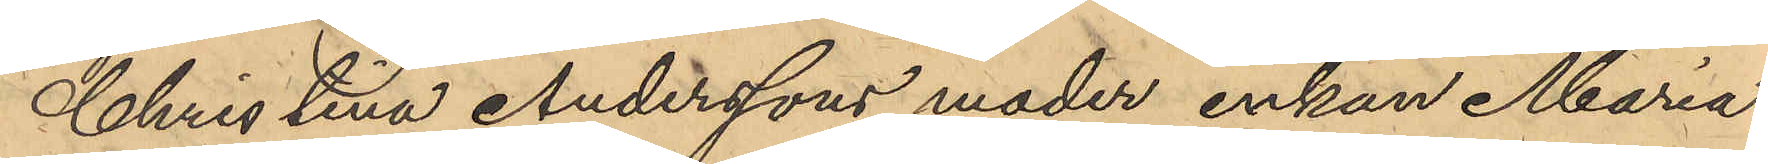Christina Anderssons moder enkan Maria
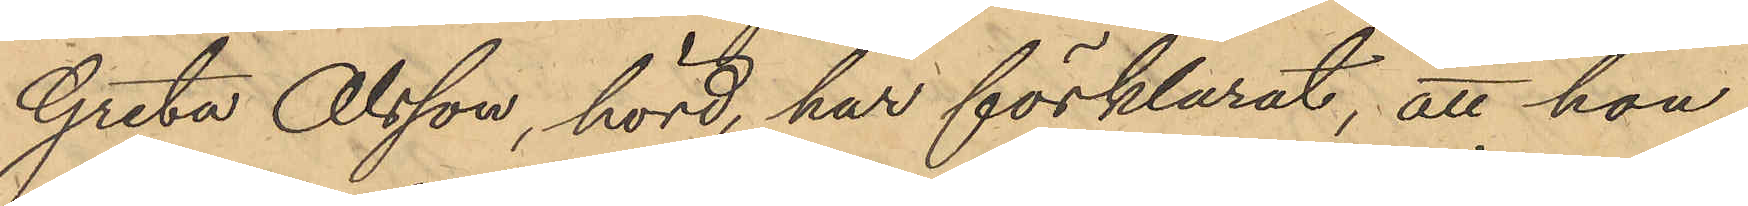Greta Olsson, hörd, har förklarat, att hon
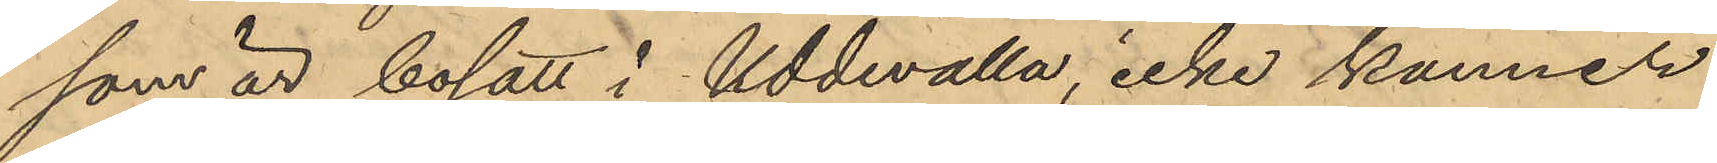som är bosatt i Uddevalla, icke känner
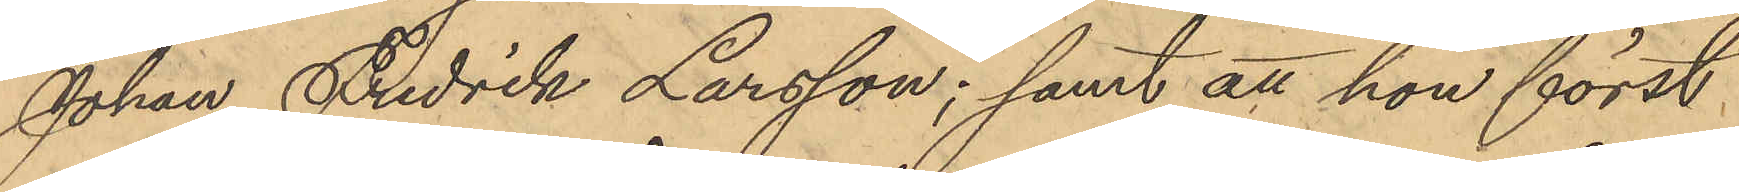Johan Fredrik Larsson; samt att hon först
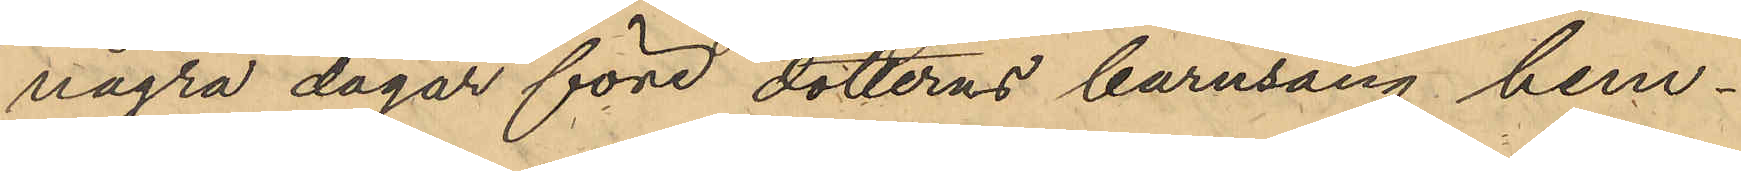några dagar före dotterns barnsäng hem¬
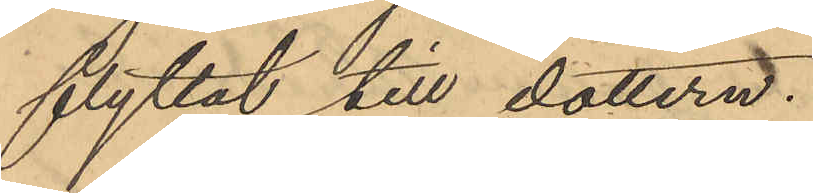flyttat till dottern.
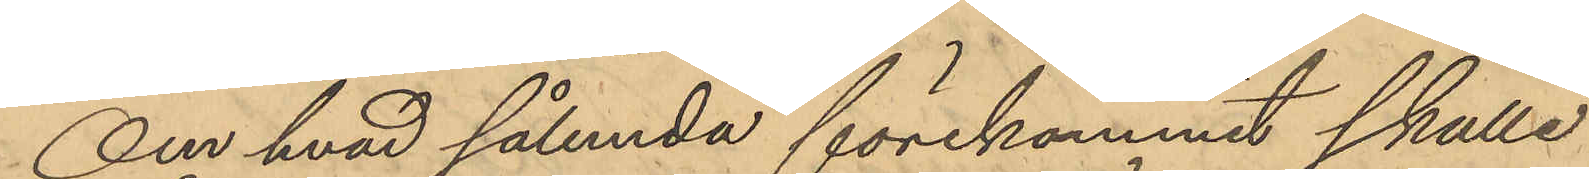Om hvad sålunda förekommit skulle
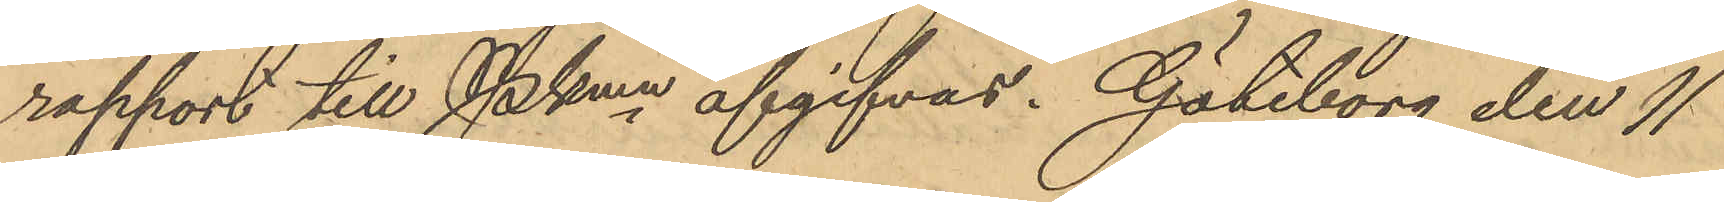rapport till Pkmn afgifvas. Göteborg den 11
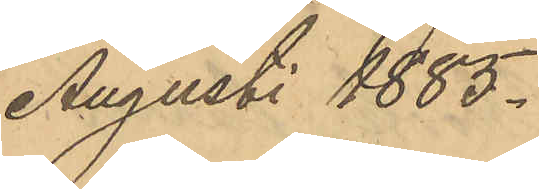Augusti 1885.
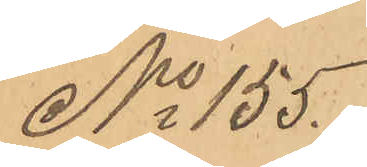No 155.
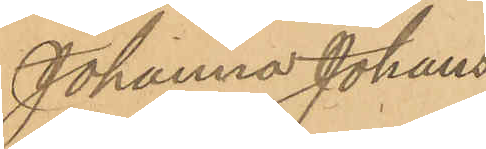Johanna Johans¬
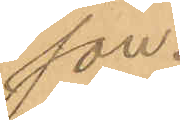son.
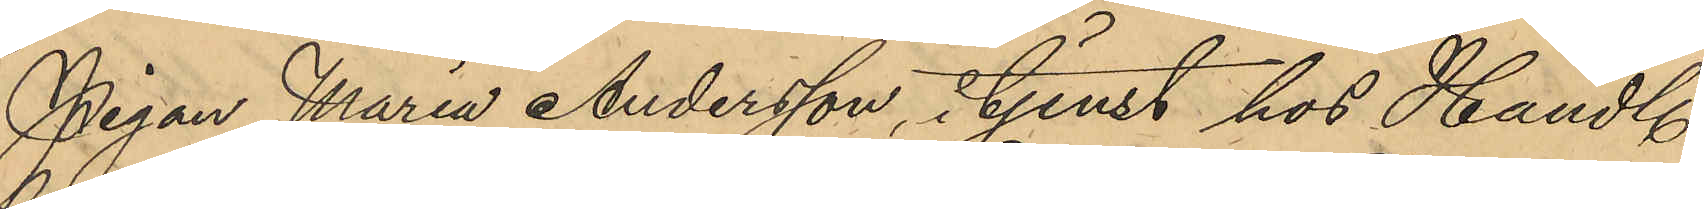Pigan Maria Andersson, i tjenst hos Handl.
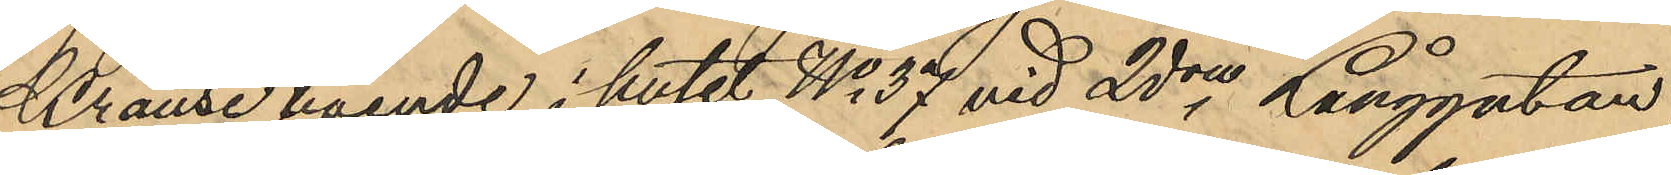Krause boende i huset No 37 vid 2dra Långgatan,
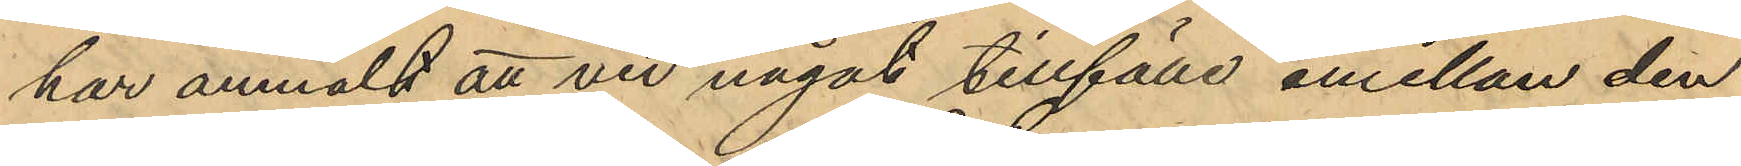har anmält att vid något tillfälle emellan den
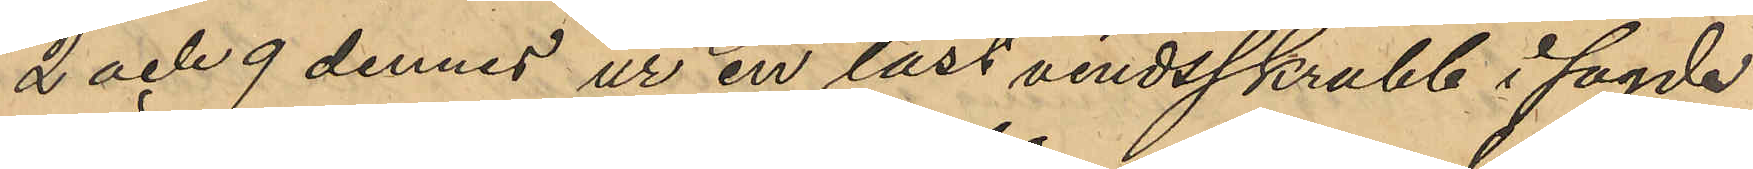2 och 9 dennes ur en låst vindsskrubb i sagde
